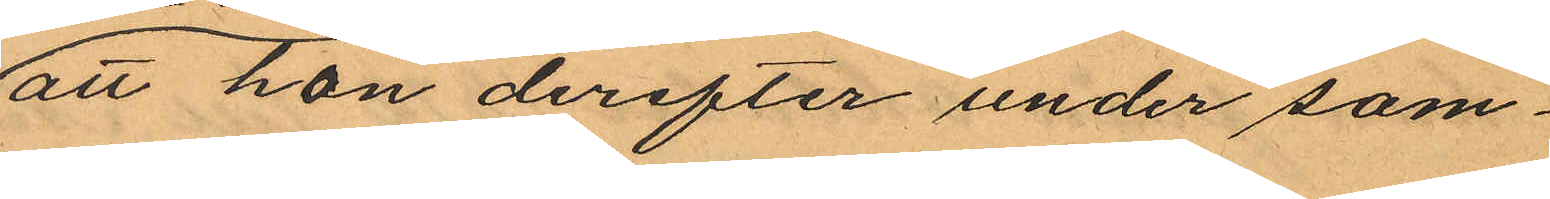att hon derefter under som¬
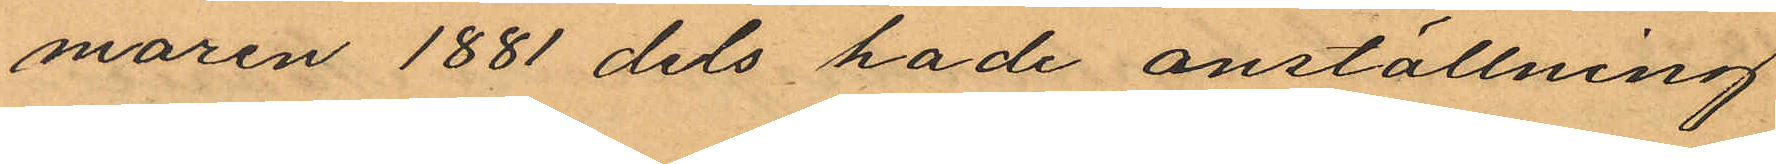maren 1881 dels hade anställning
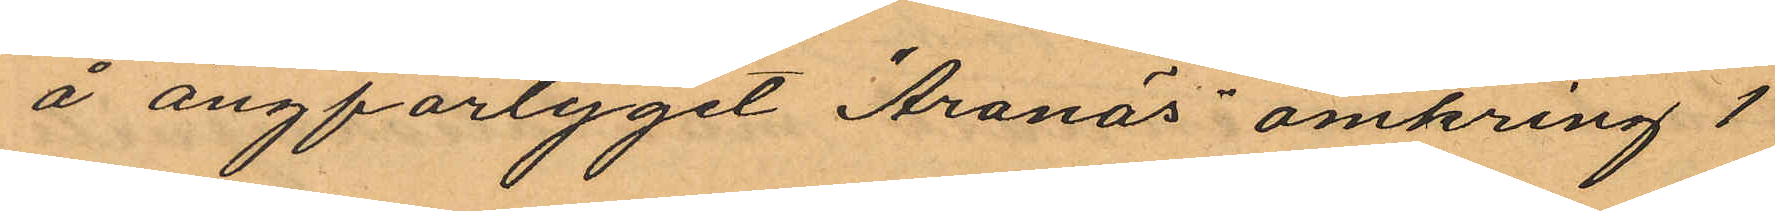å ångfartyget "Aranäs" omkring 1
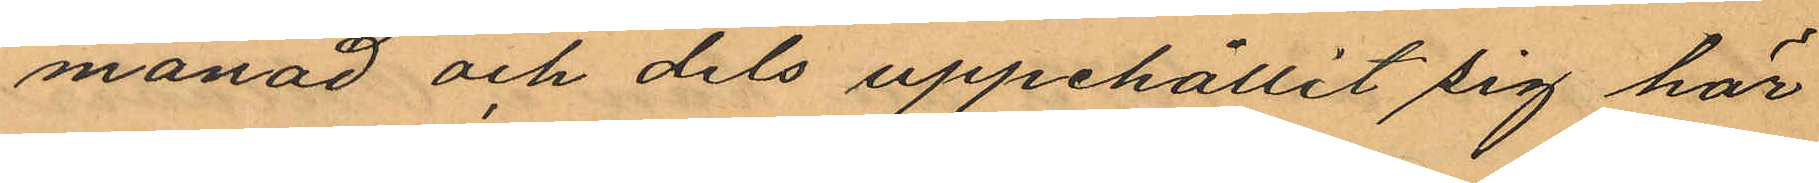månad och dels uppehållit sig här
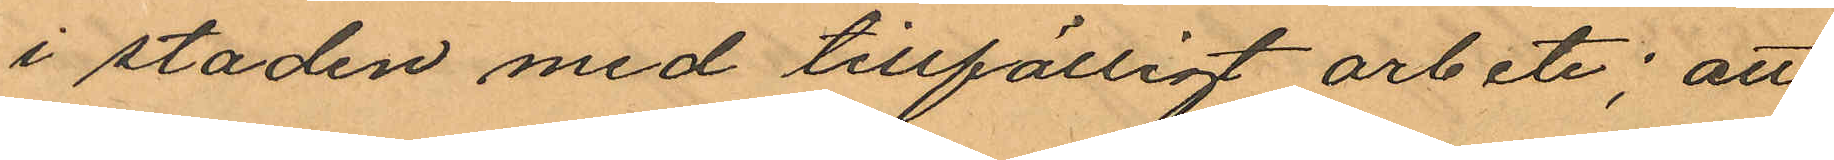i staden med tillfälligt arbete; att
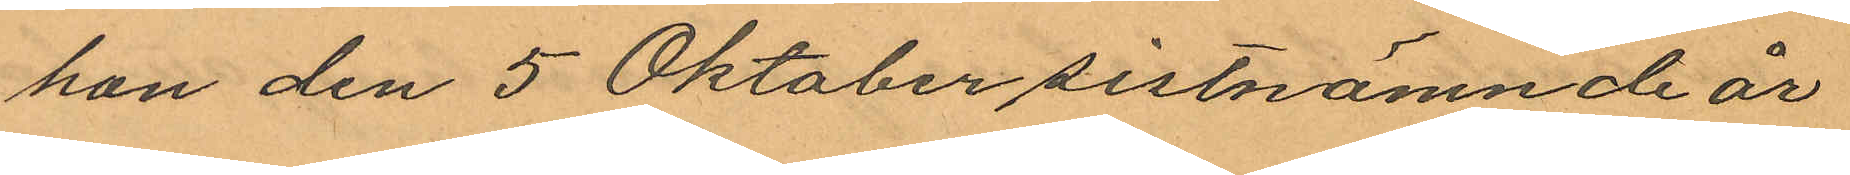hon den 5 Oktober sistnämnde år
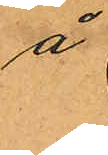å
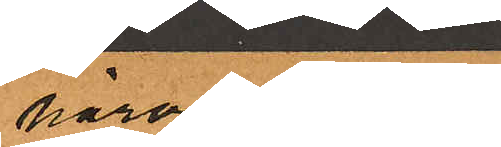härvarande
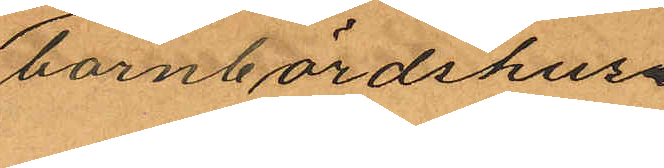barnbördshus
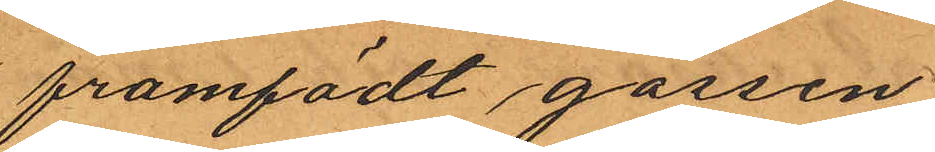framfödt gossen
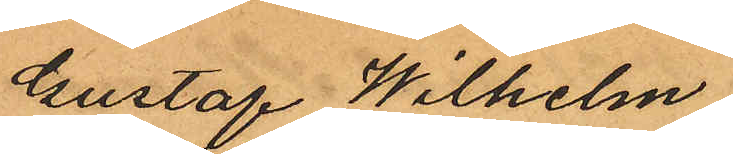Gustaf Wilhelm
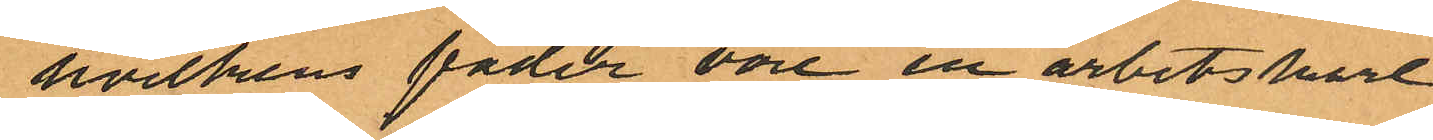hvilkens fader vore en arbetskarl
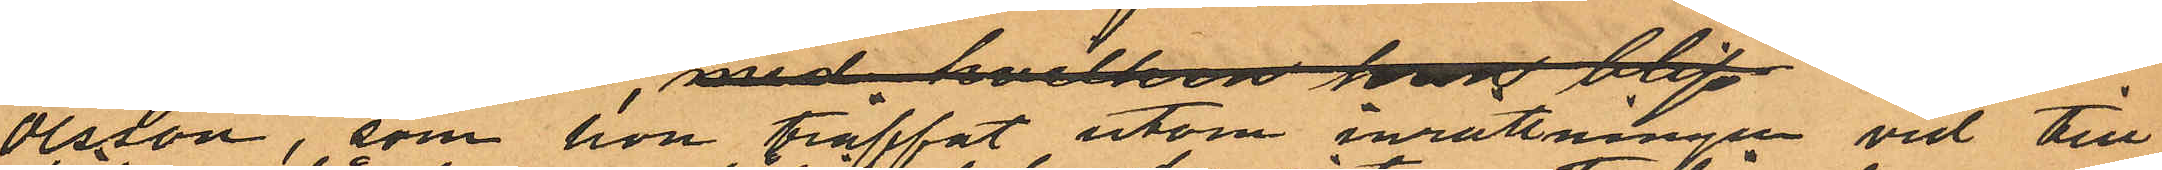Olsson, som hon träffat utom inrättningen vid till¬
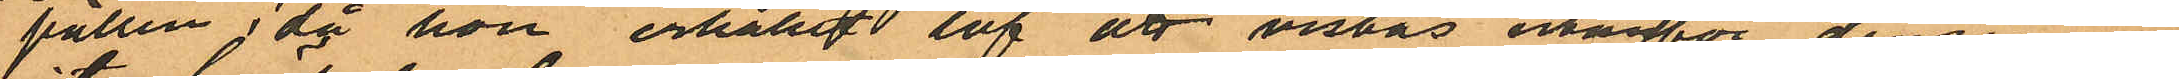fällen, då hon erhållit lof att vistas utanför densamme
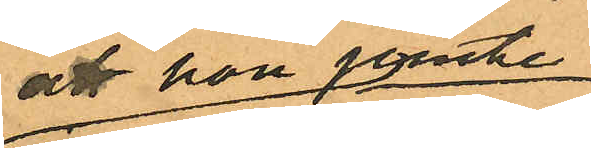att hon jemte
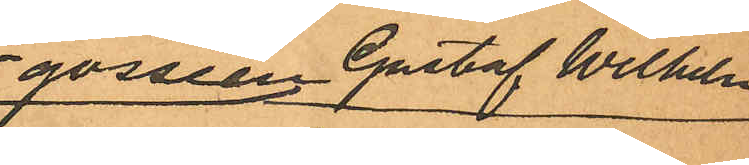gossen Gustaf Wilhelm
